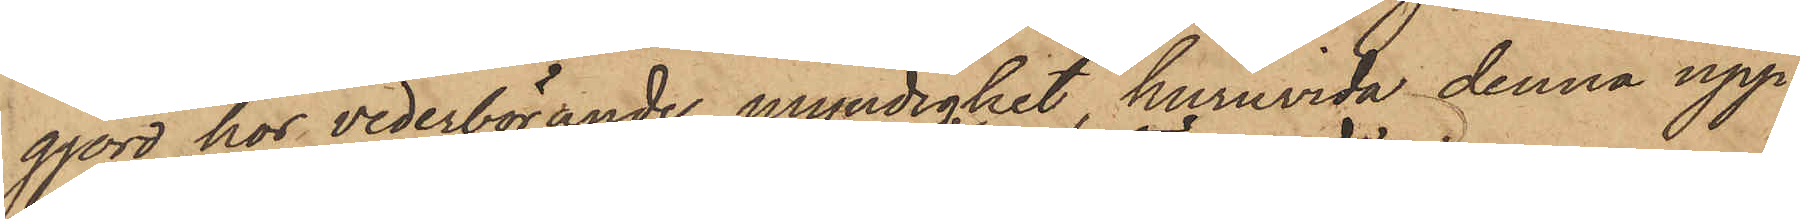gjord hos vederbörande myndighet huruvida denna upp¬
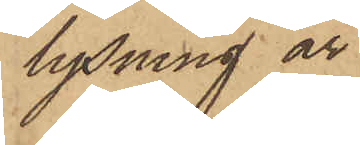lysning är
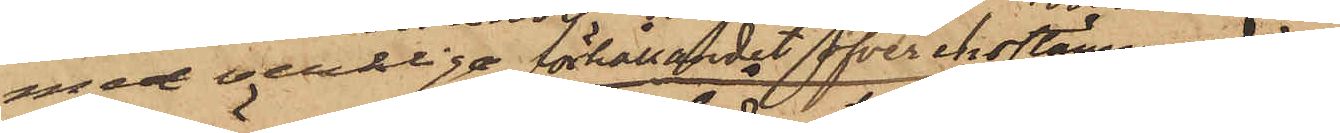med verklige förhållandet öfverensstämmande
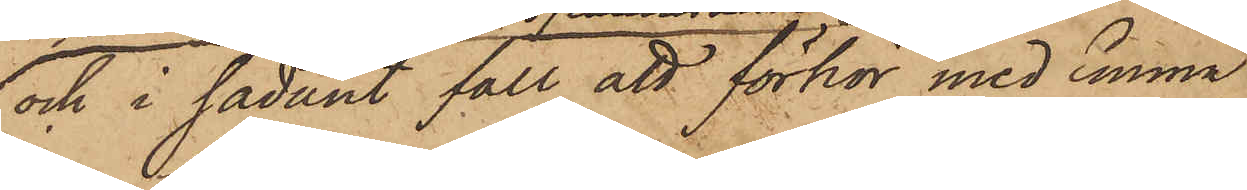och i sådant fall att förhör med Emma
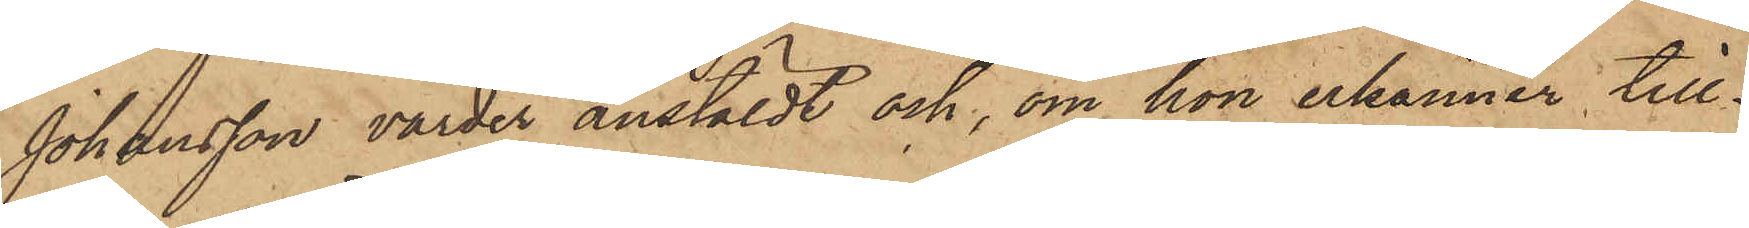Johansson varder anstäldt och, om hon erkänner till¬
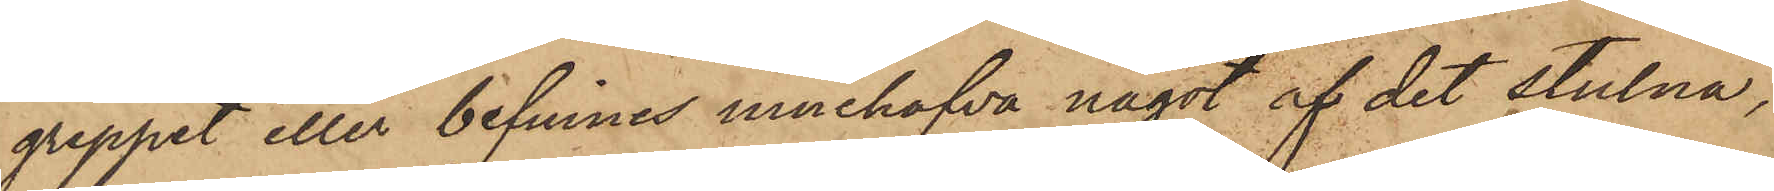greppet eller befinnes innehafva något af det stulna,
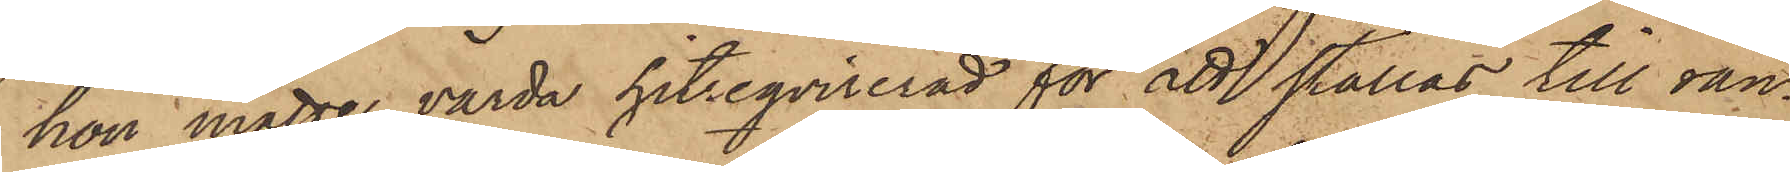hon måtte varda hitreqvirerad för att ställas till ran¬
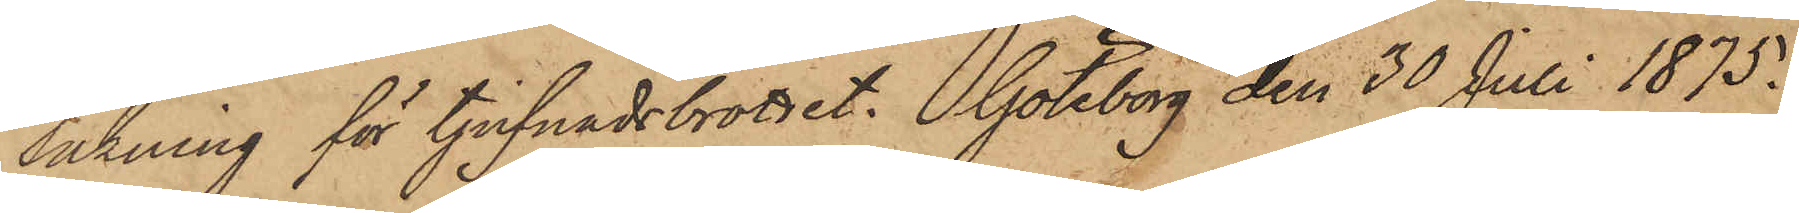sakning för tjufnadsbrottet. Göteborg den 30 Juli 1875.
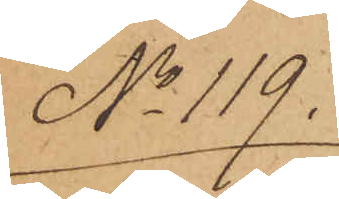No 119.
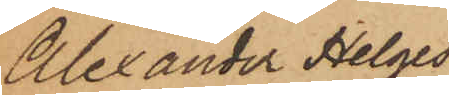Alexander Helges¬
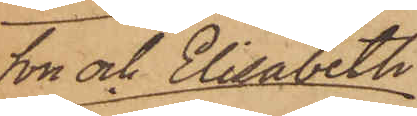son och Elisabeth
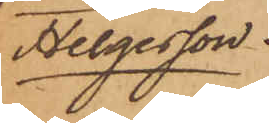Helgesson.
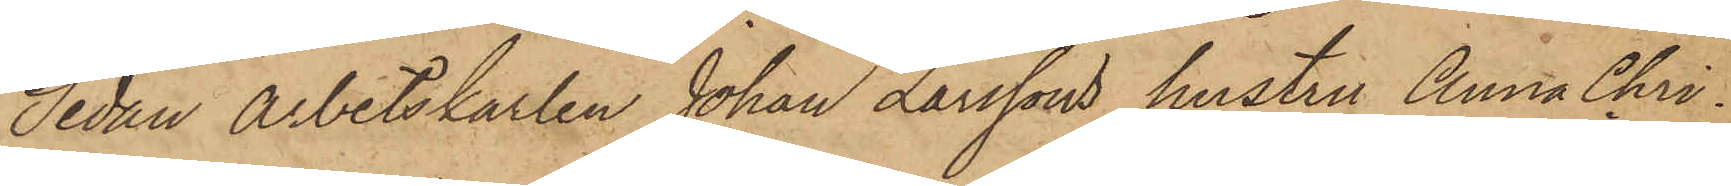Sedan arbetskarlen Johan Larssons hustru Anna Chri¬
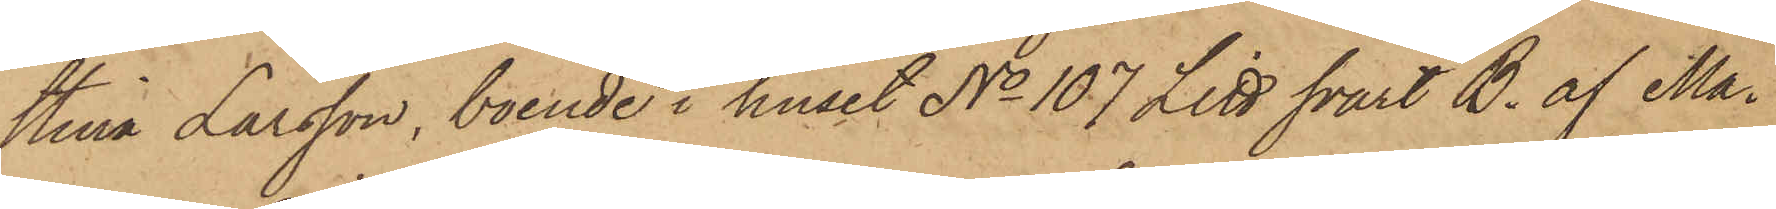stina Larsson, boende i huset No 107 Litt svart B. af Ma¬
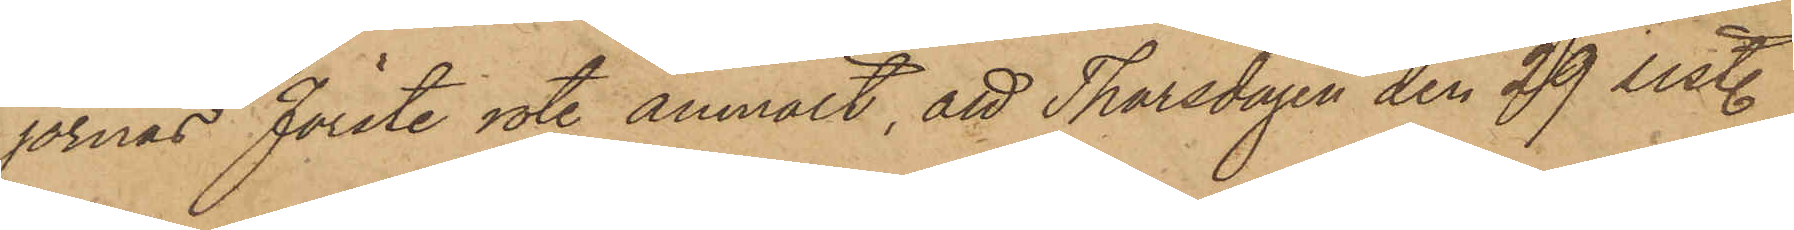jornas Förste rote anmält, att Thorsdagen den 29 sistl.
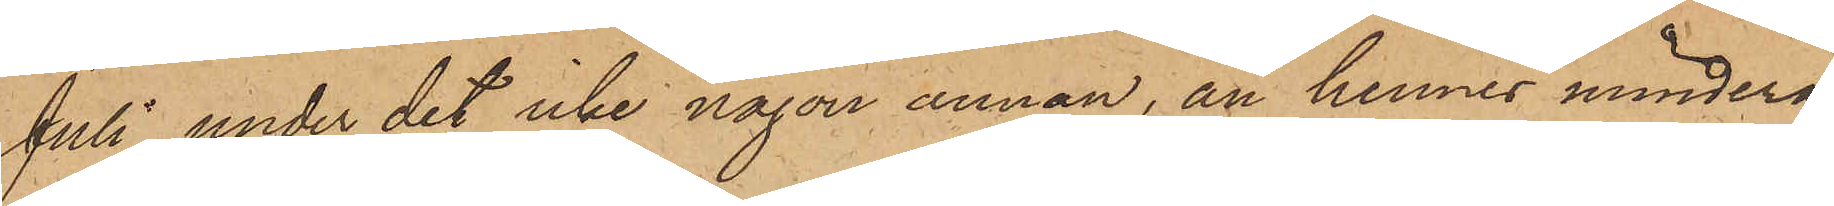Juli under det icke någon annan, än hennes minderå¬
